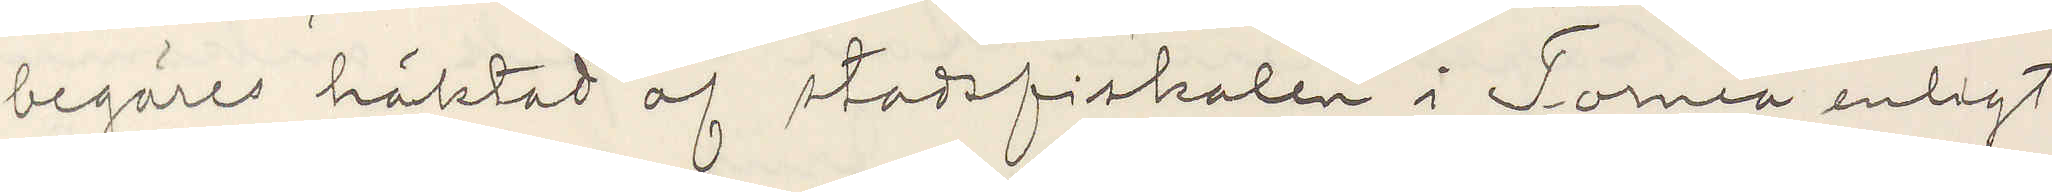begäres häktad af stadsfiskalen i Torneå enligt
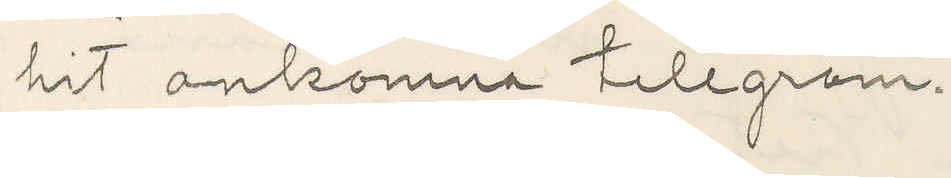hit ankomne telegram.
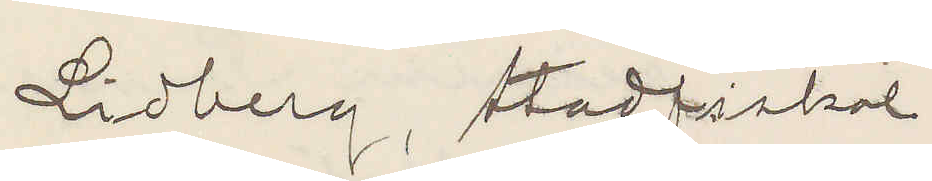Lidberg, stadsfiskal
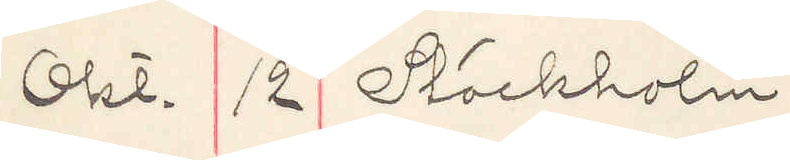Okt. 2 Stockholm
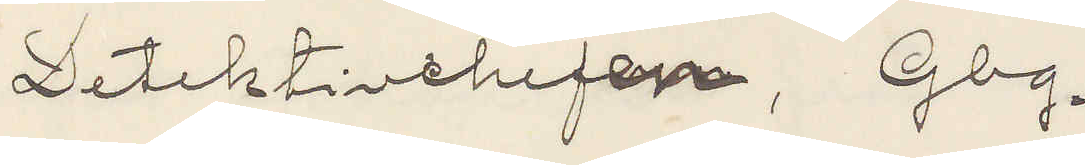Detektivchefen, Gbg.
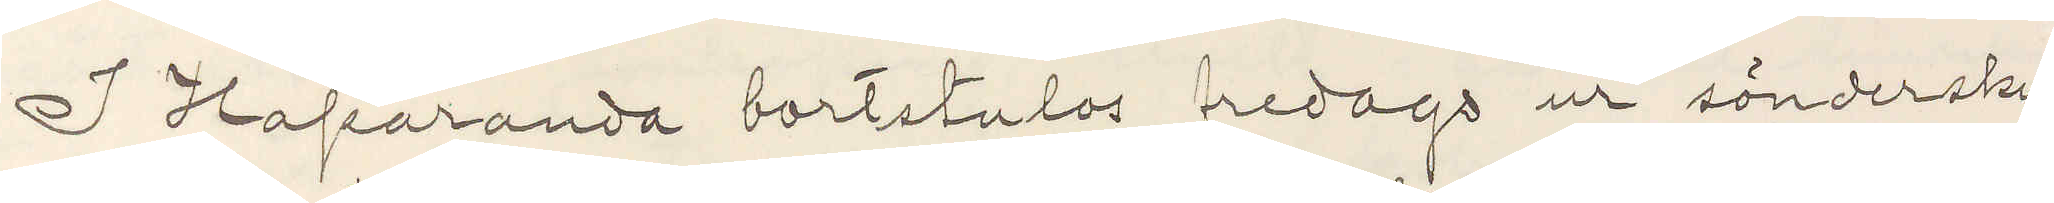I Haparanda bortstulos fredags ur sönderskur¬
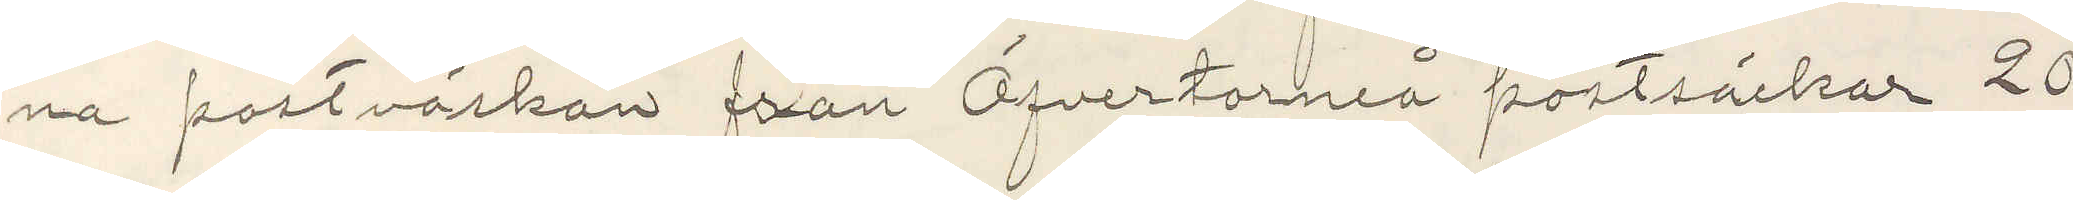na postsäckar från Öfvertorneå postsäckar 20
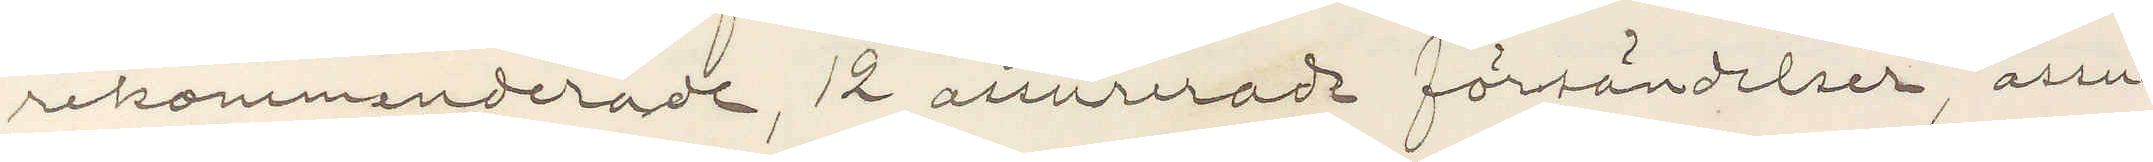rekommenderade, 12 assurerade försändelser, assu¬
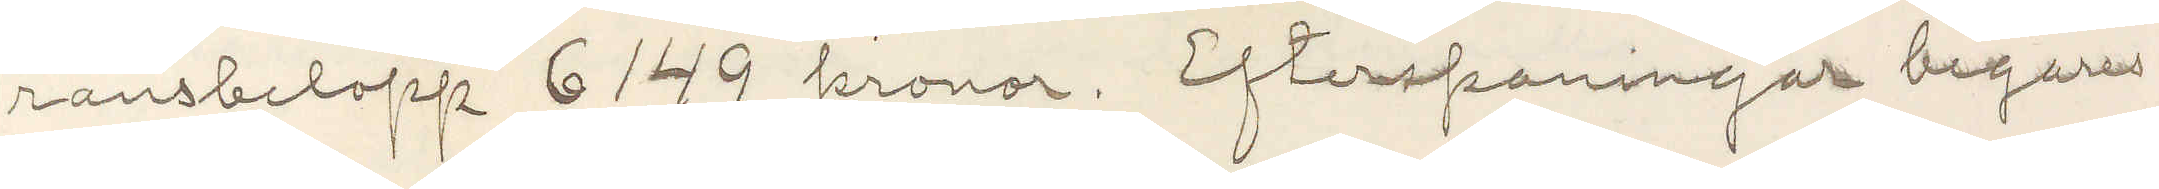ransbelopp 6149 kronor. Efterspaningar begares
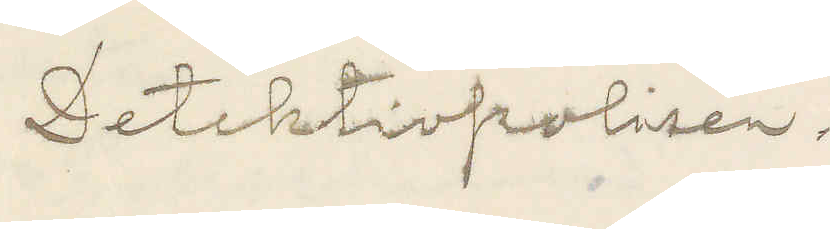Detektivpolisen.
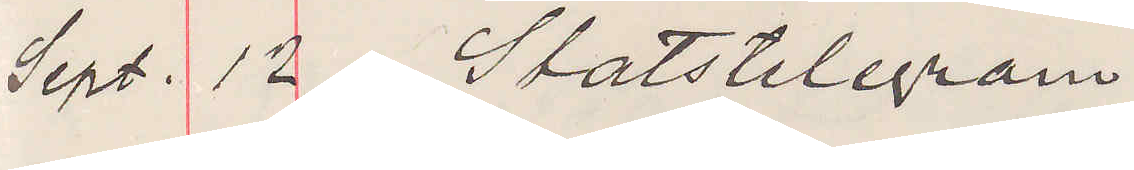Sept. 12 Statstelegram
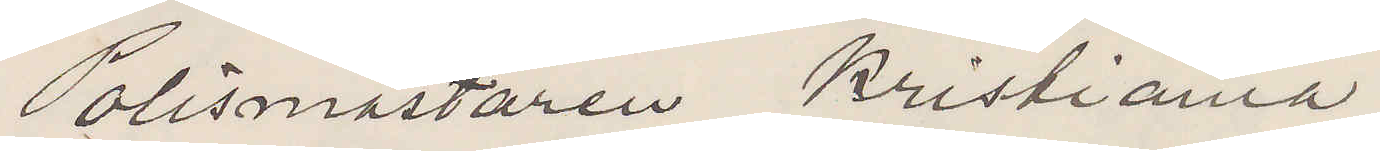Polismästaren Kristiania.
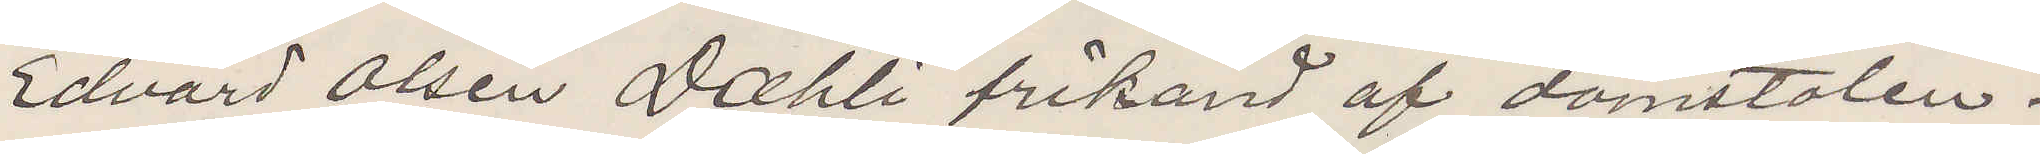Edvard Olsen Dahli frikänd af domstolen.
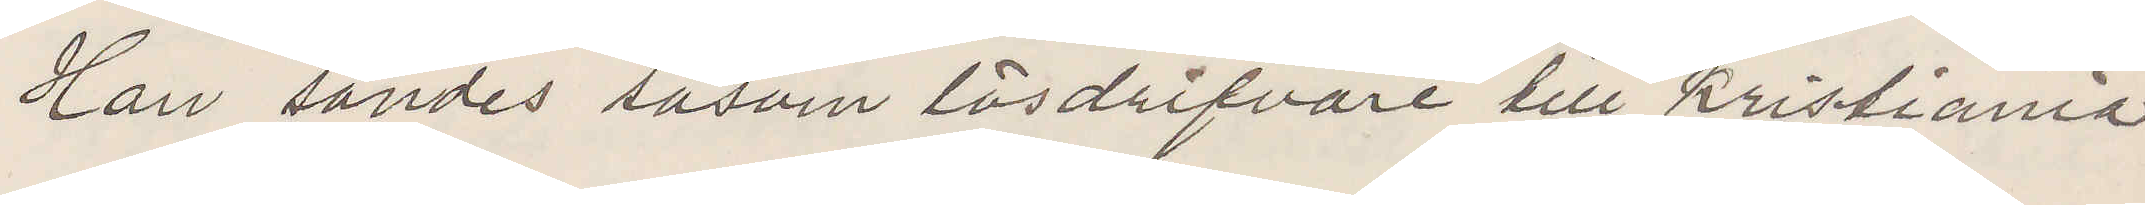Han sändes såsom lösdrifvare till Kristiania
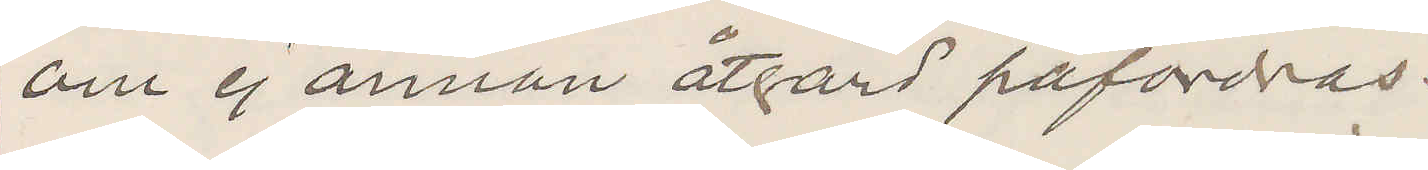om ej annan åtgärd påfordras.
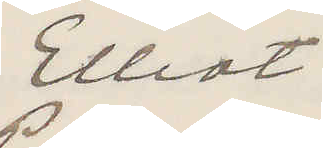Elliot
